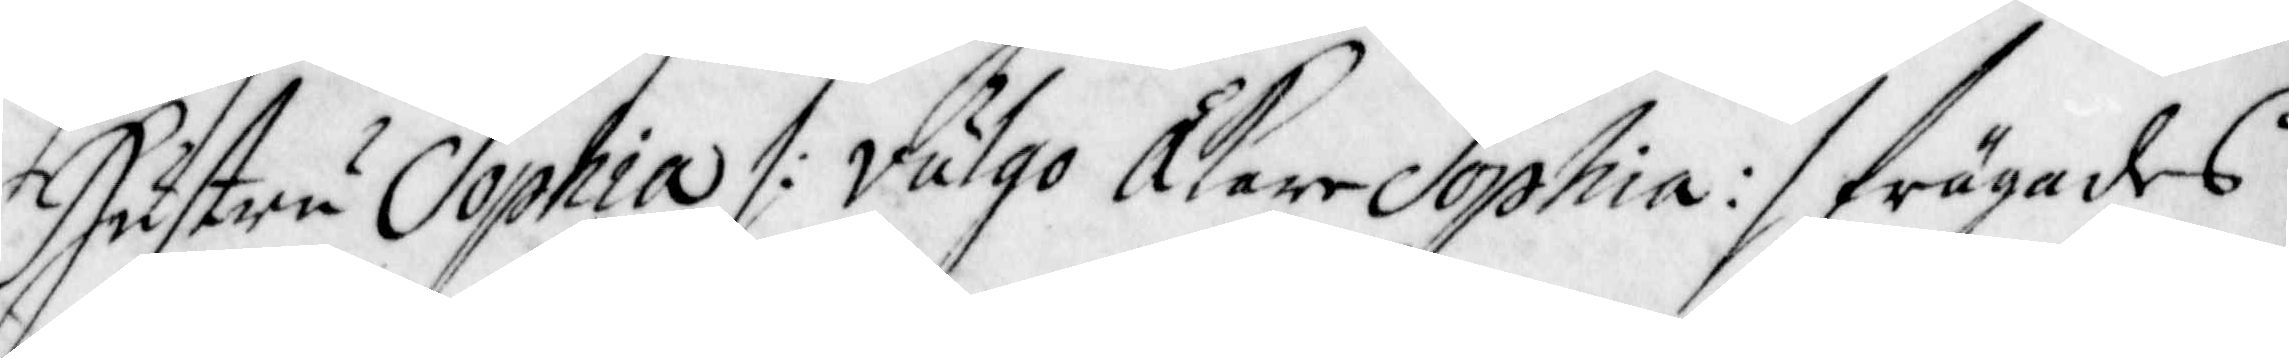Hustru Sophia /: Vulgo Åkare Sophia :/ frågades
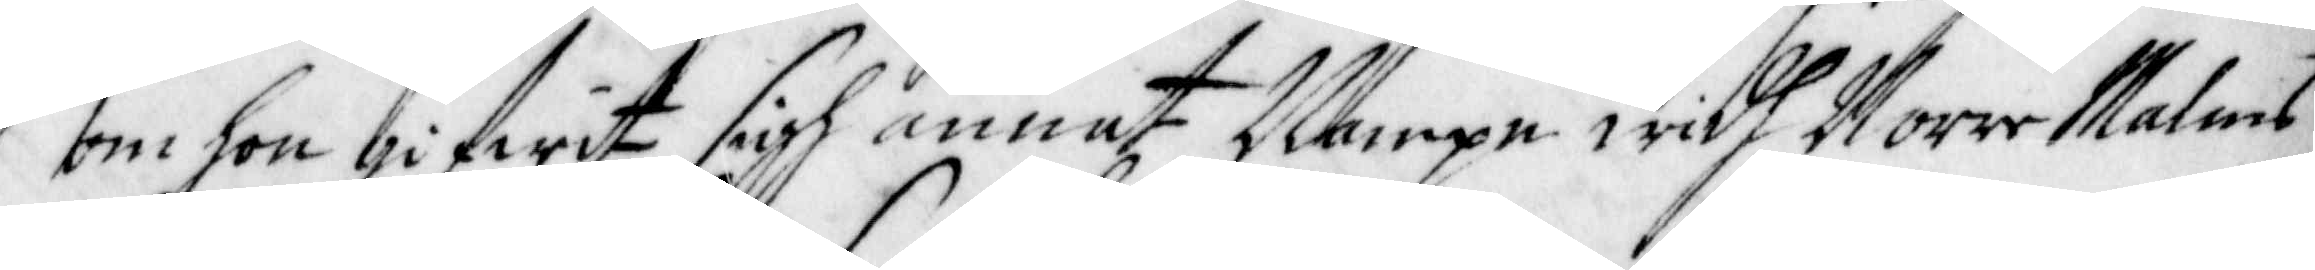om hon gifwit sigh annat Nampn widh Norr Malms
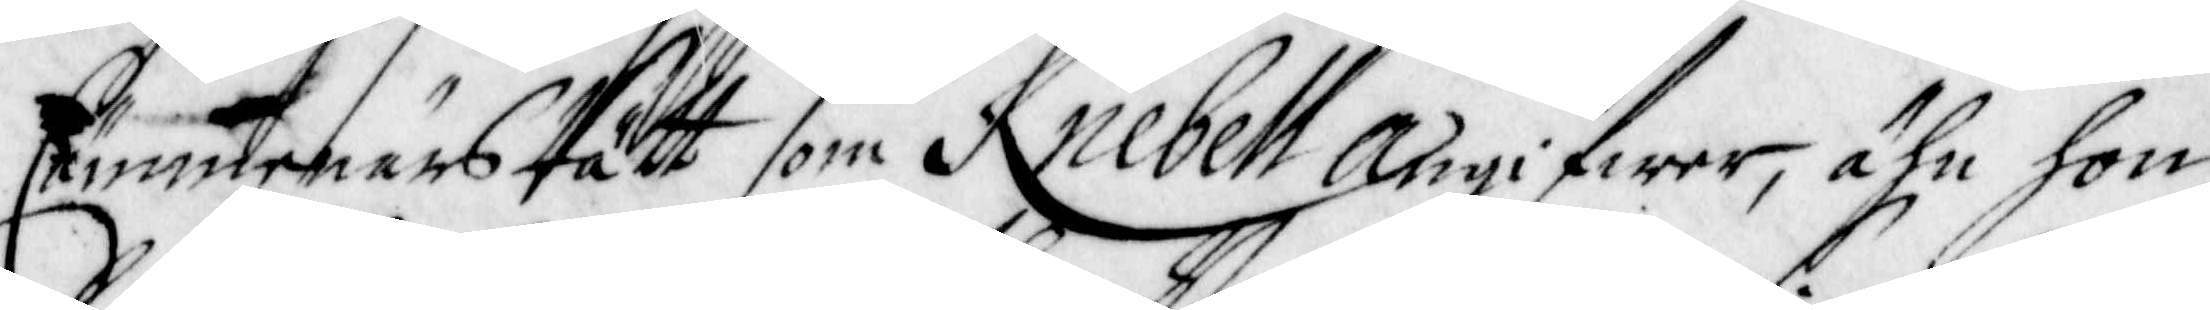Cämibnärs Rätt som Knebell Angifwer, ähn hon
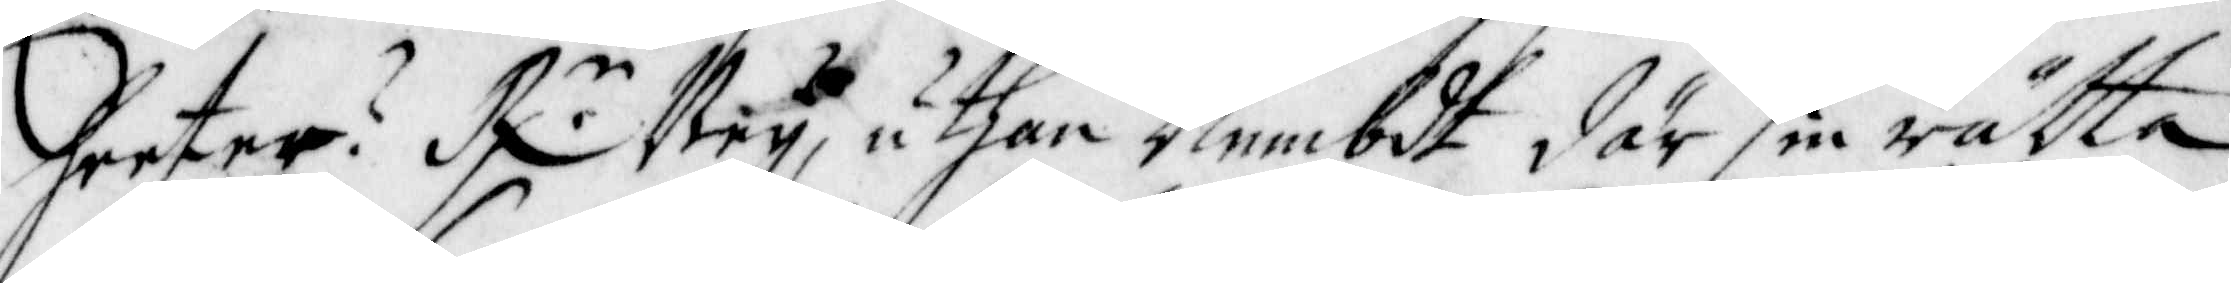heeter? R:r Ney, uthan Nembdt där sin rätta
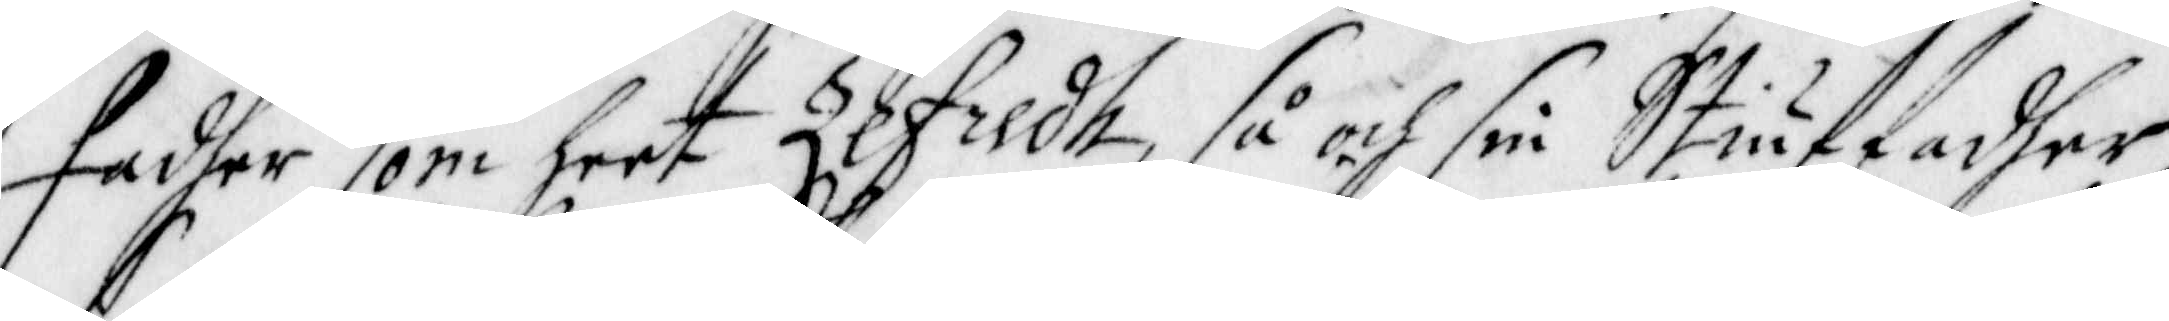Fadher som heet Zefredh, så och sin Stiuffadher
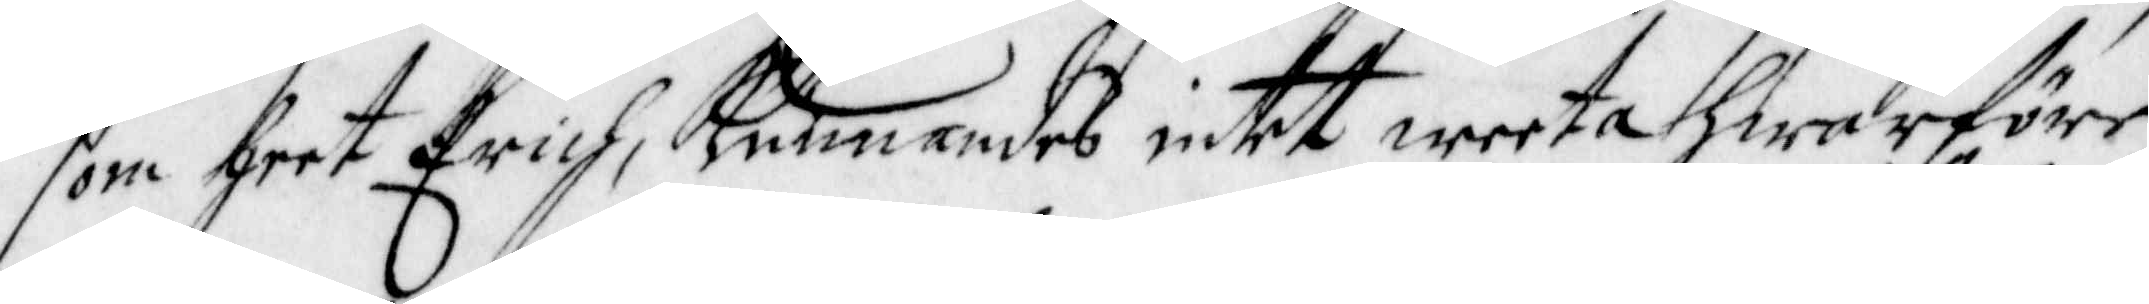som heet Erich, Kunnandes intet weeta hwarföre
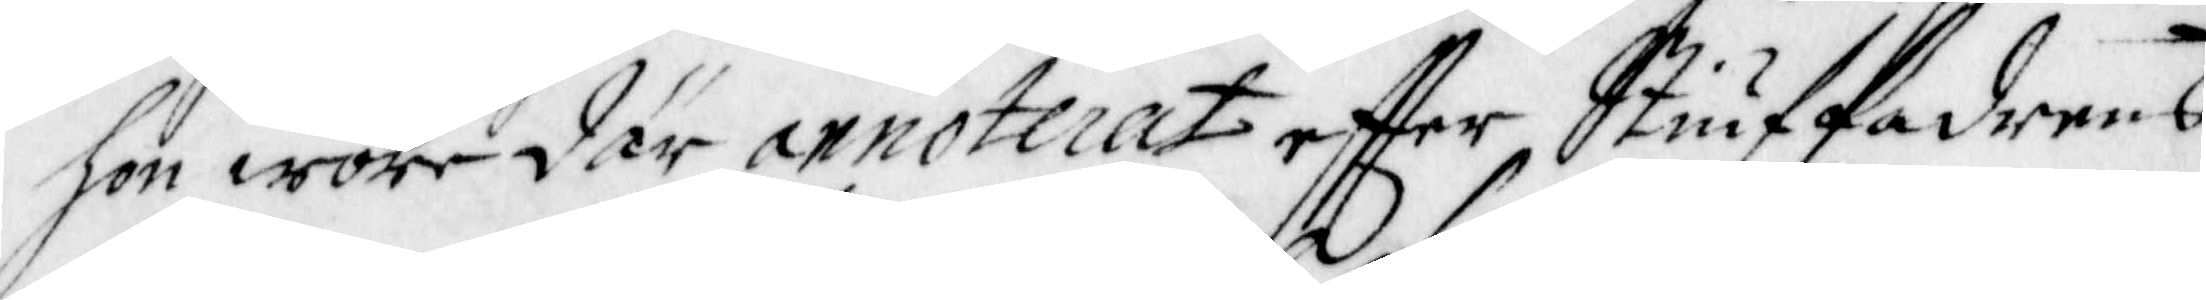hon wore där annoterat effter Stiuffadrens
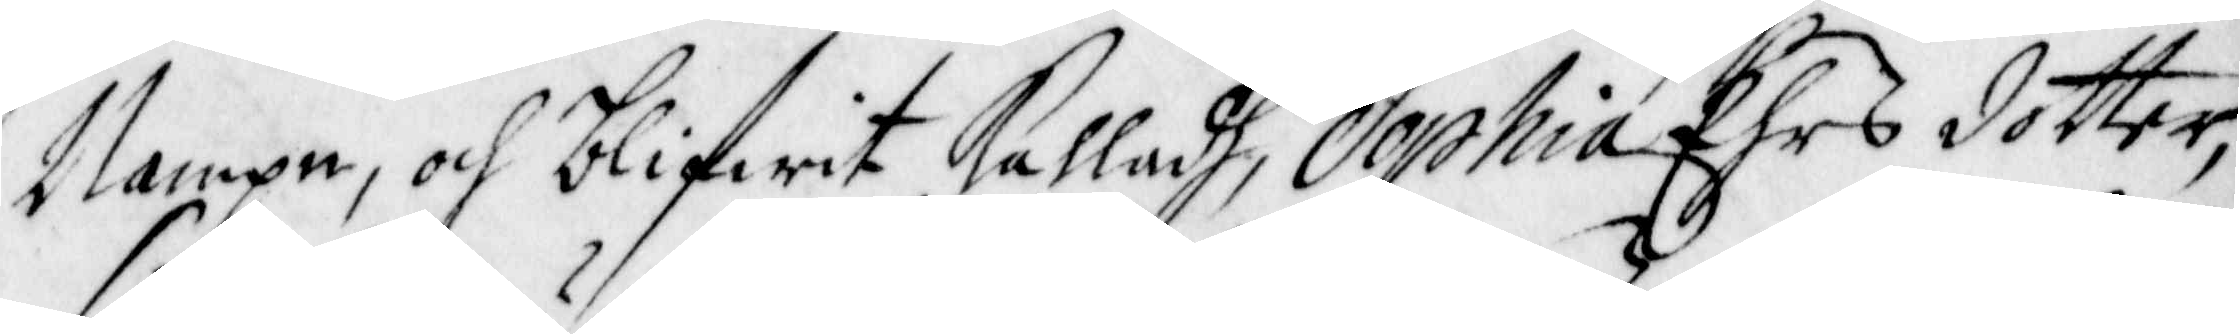Nampn, och blifwit Kalladh, Sophia Ehrs dotter,
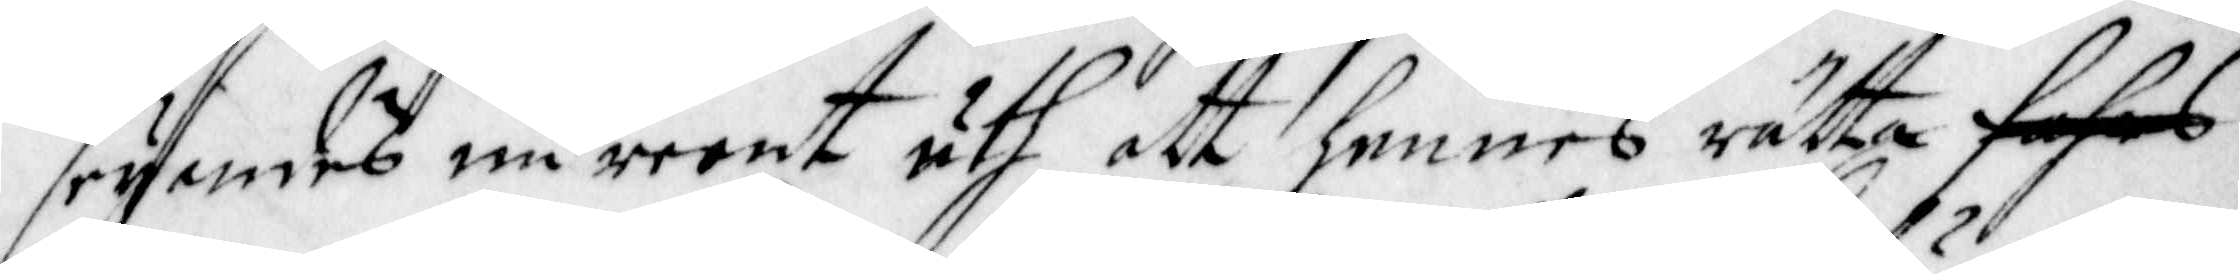seyandes nu reent uth att hennes rätta Fahrs
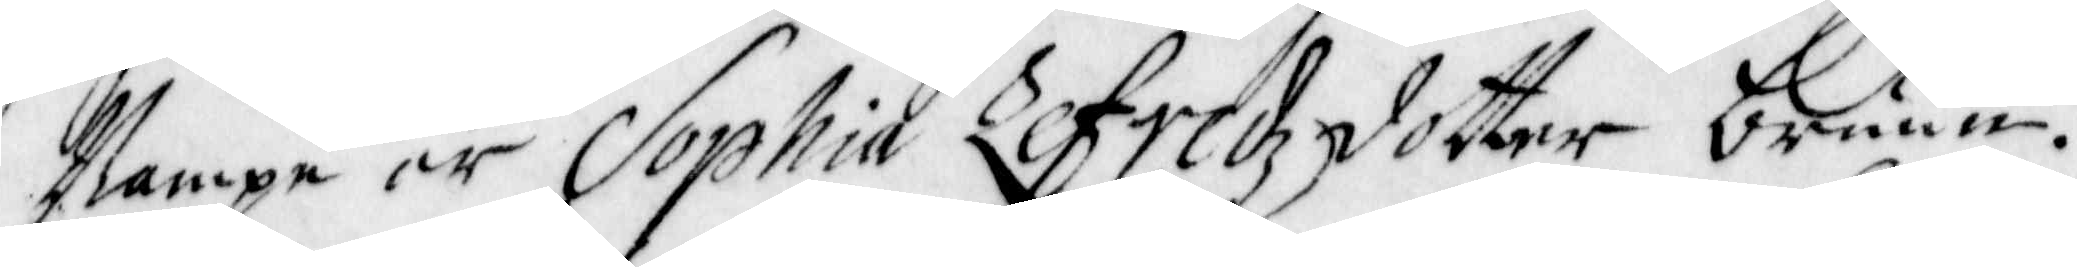Nampn är Sophia Zefredz dotter Bruun.
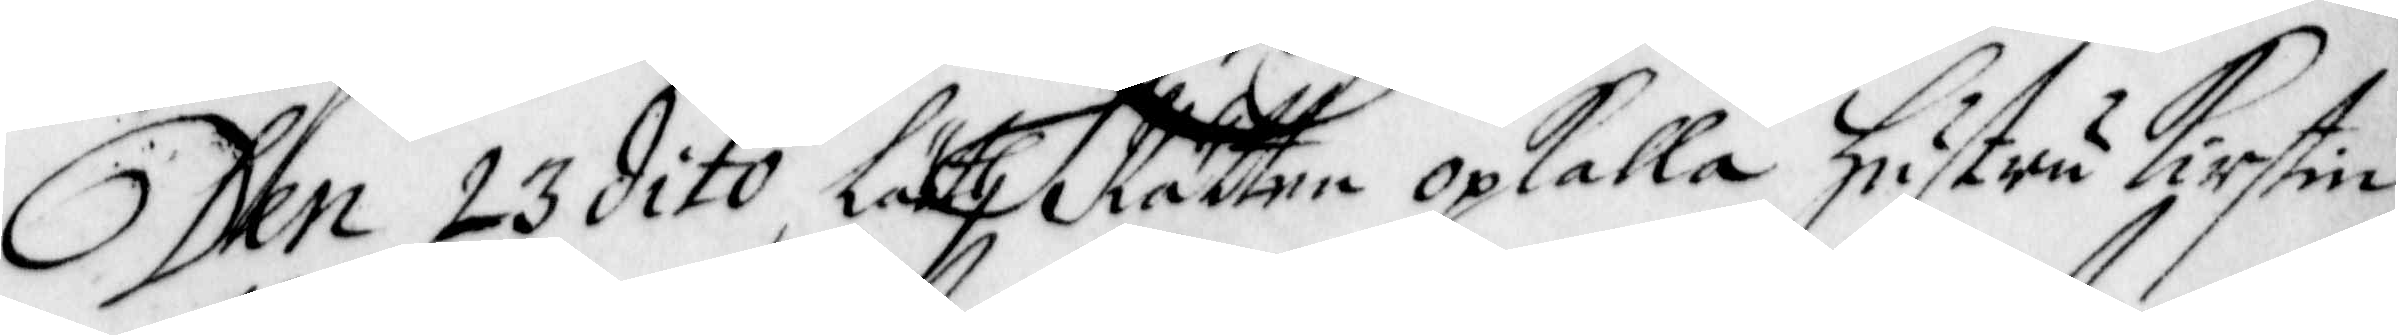Den 23 dito läth Rätten opkalla hustru Kirstin
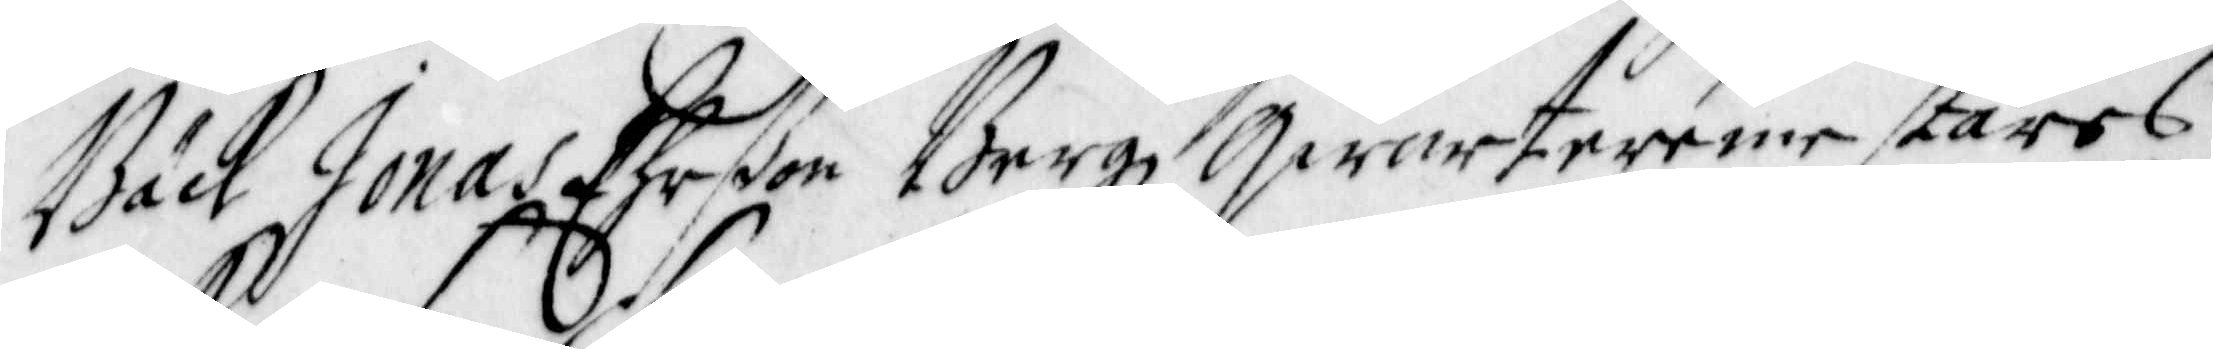Bäck Jonas Ehrßon Bergz Qwarteremestares
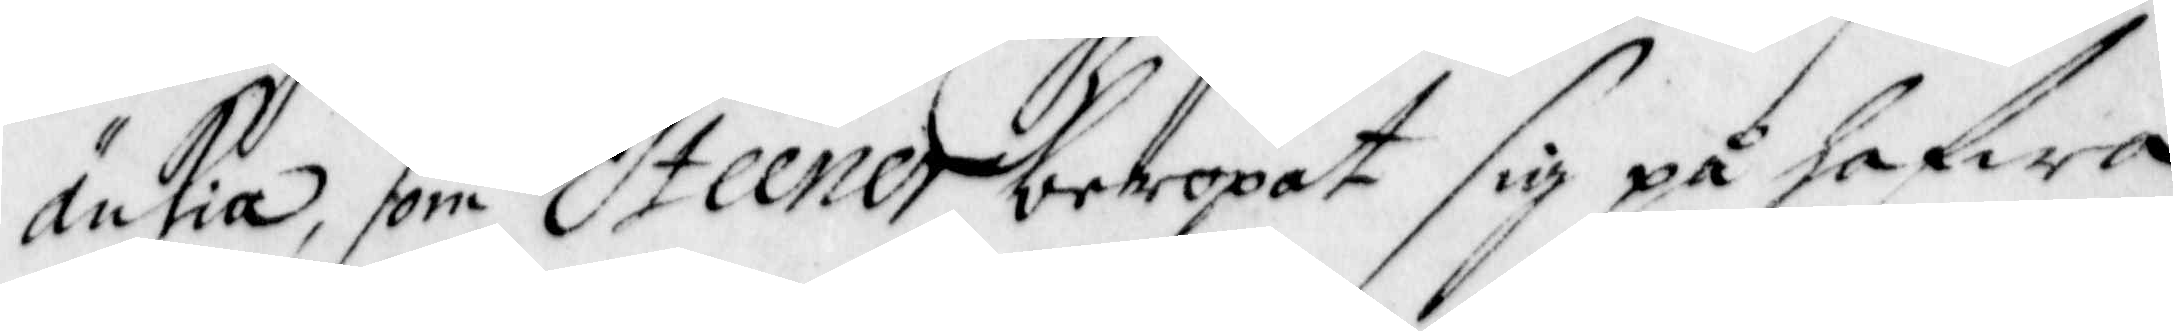Änkia, som Steener beropat sig på hafwa
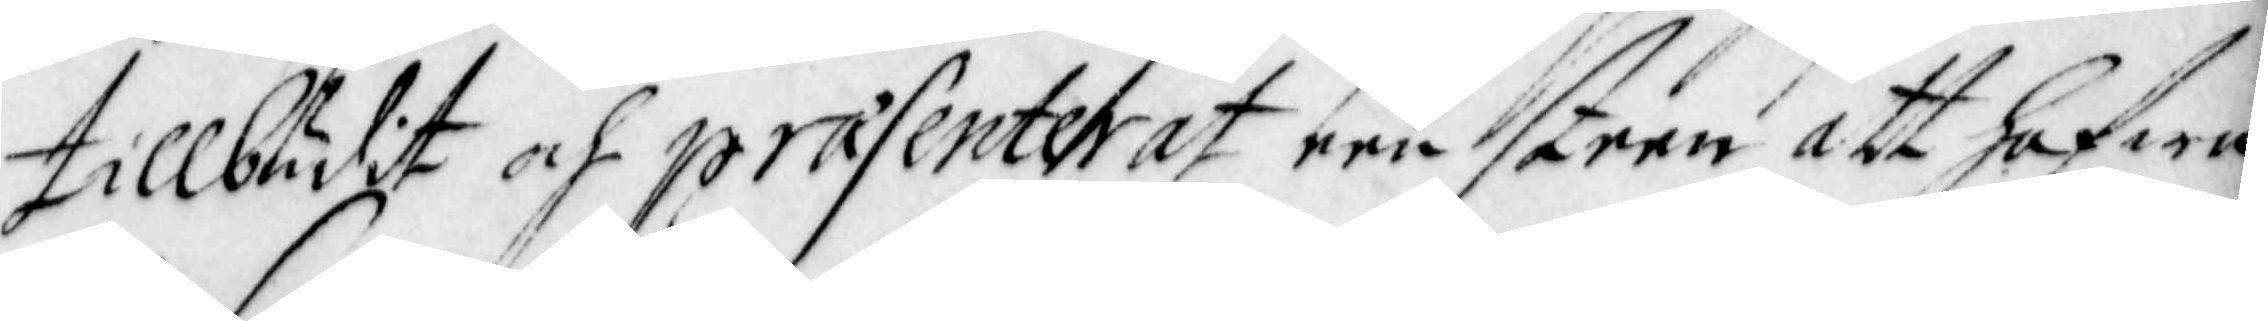tillbudit och praesenterat een steen att hafwa
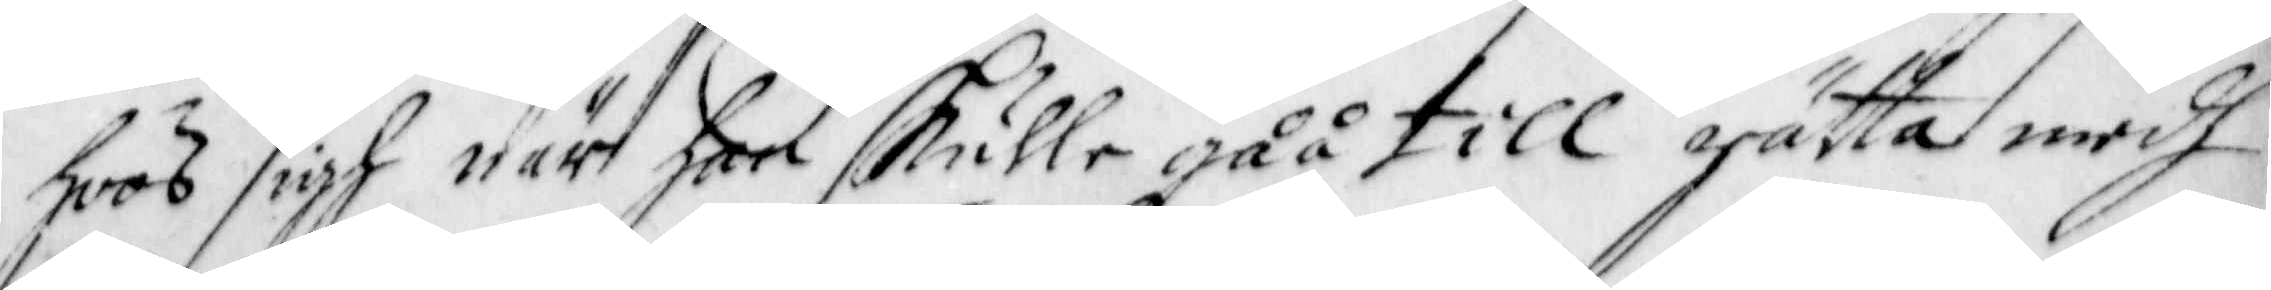hoos sigh när han skulle gåå till rätta medh
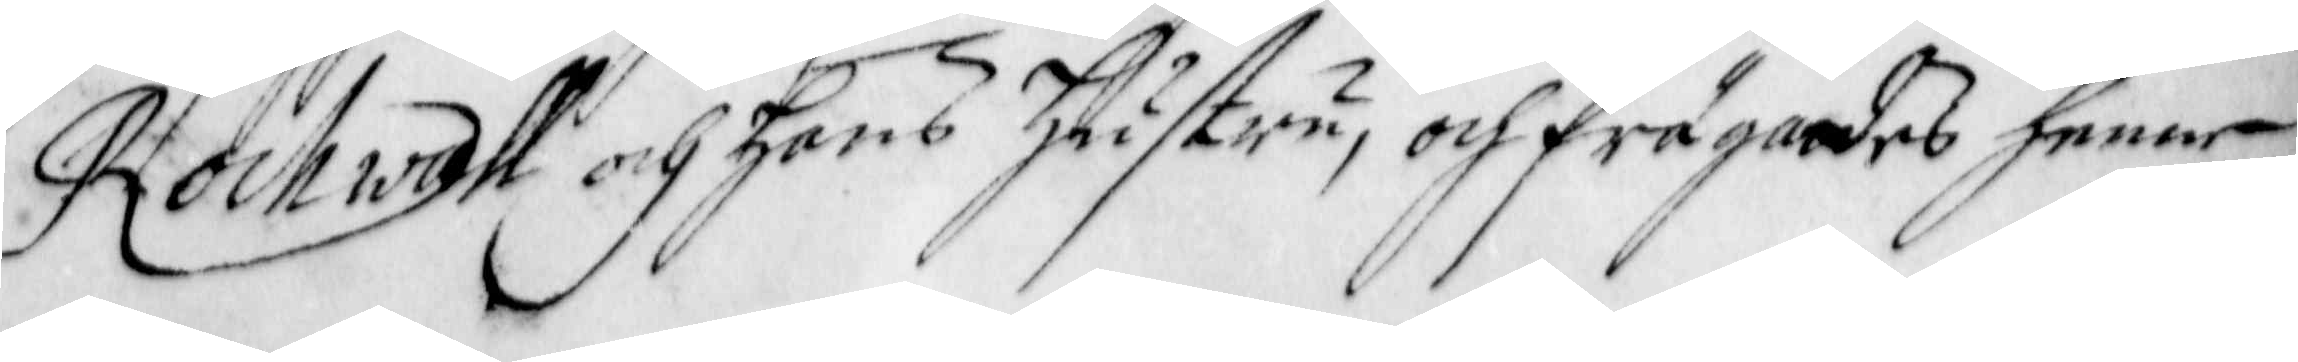Rockwall och hans hustru, och frågades henne
